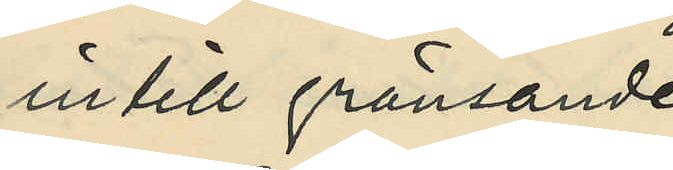intill gränsande
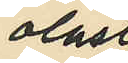olåst
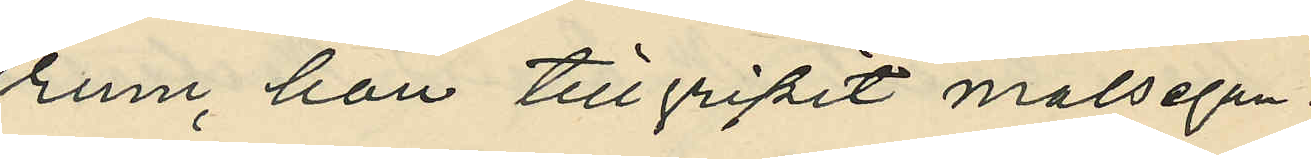rum, han tillgripit målsegan¬
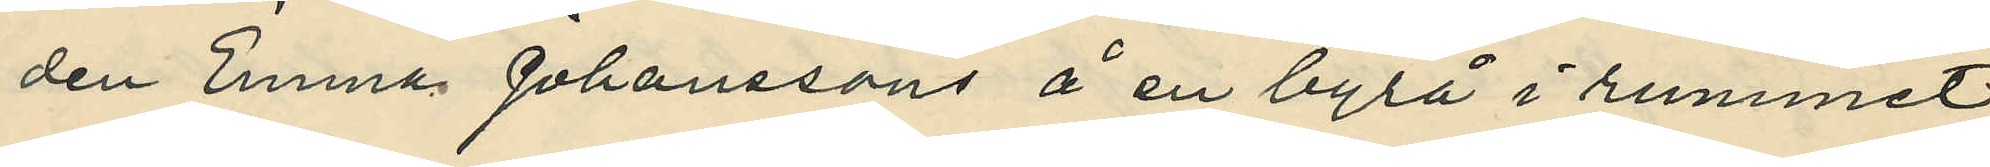den Emma Johanssons å en byrå i rummet
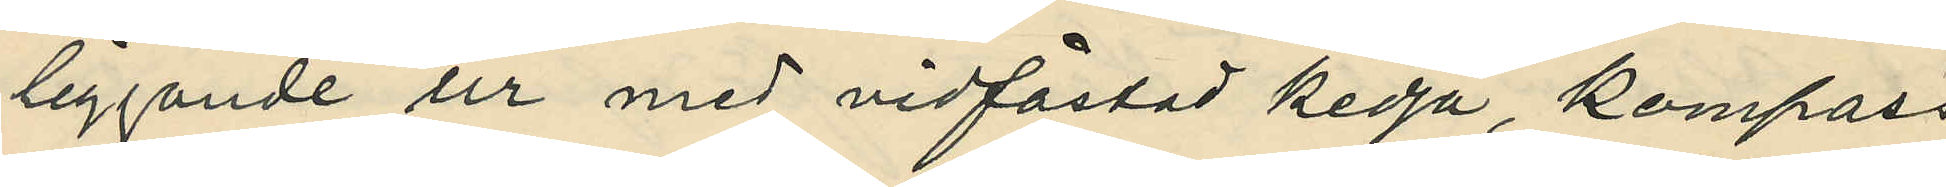liggande ur med vidfästad kedja, kompass
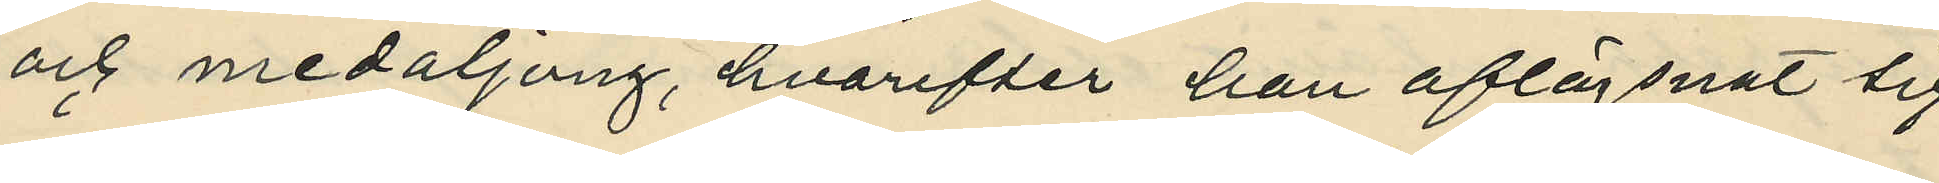och medaljong, hvarefter han aflägsnat sig
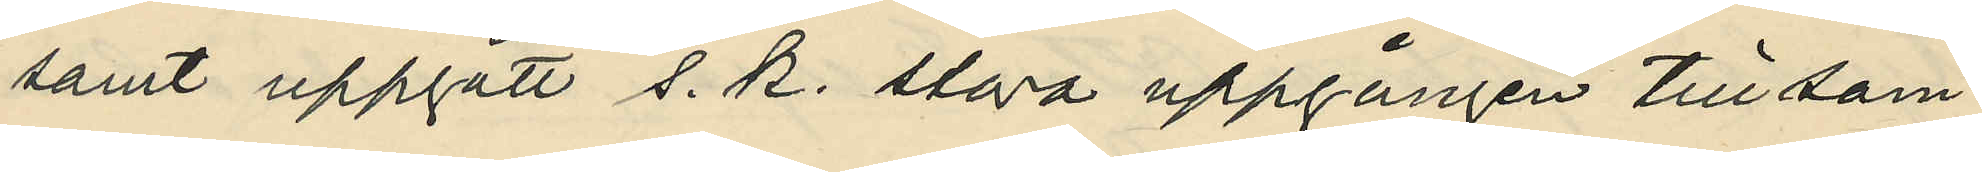samt uppgått s. k. stora uppgången till sam¬
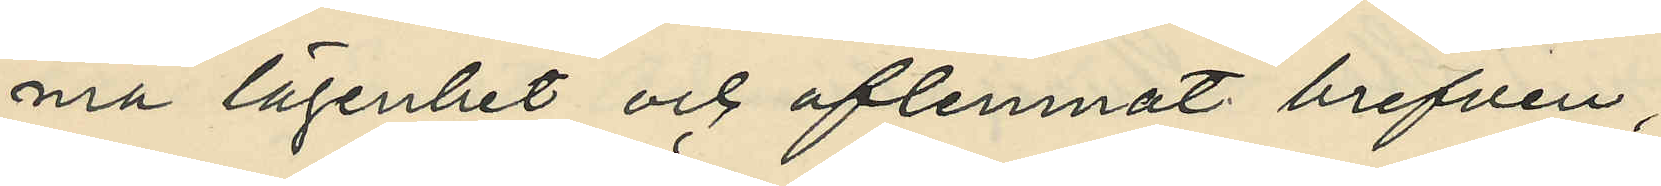ma lägenhet och aflemnat brefven;
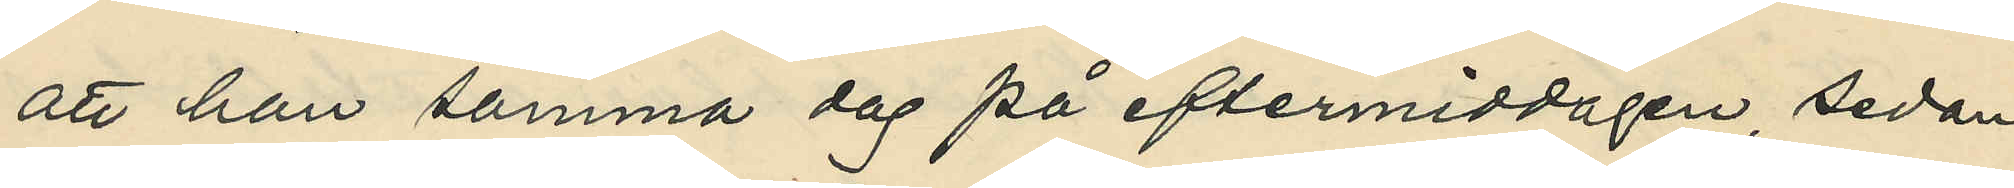att han samma dag på eftermiddagen, sedan
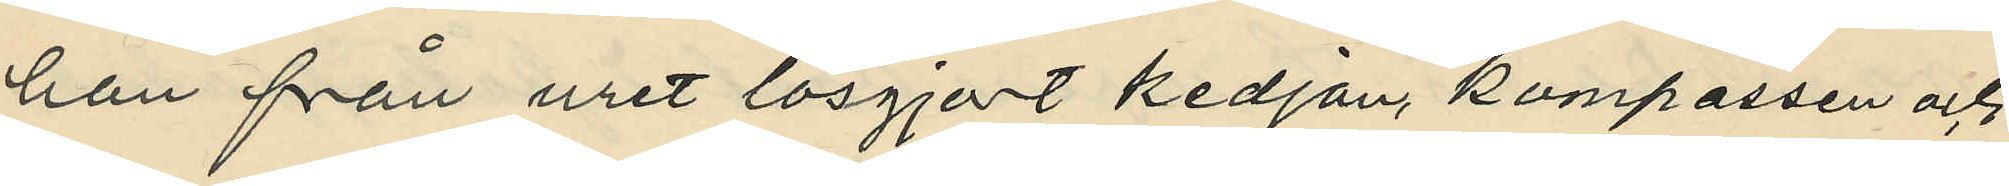han från uret lösgjort kedjan, kompassen och
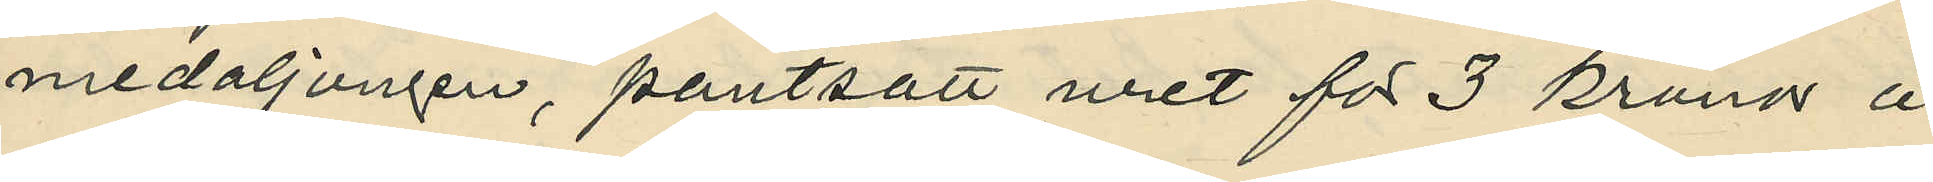medaljongen, pantsatt uret för 3 kronor å
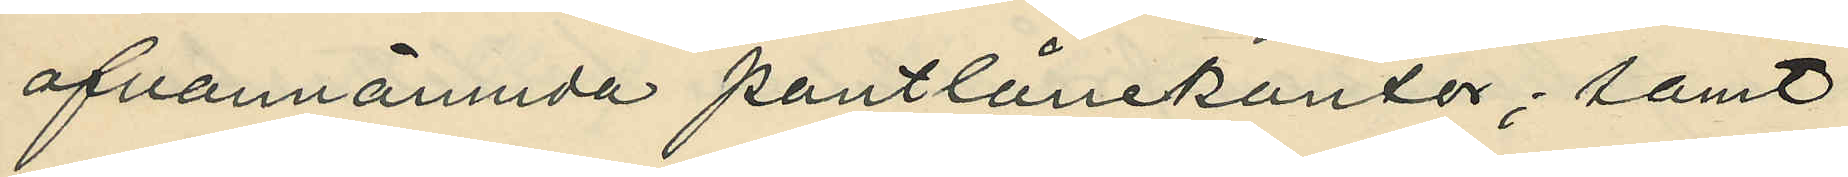ofvannämnda pantlånekontor, samt
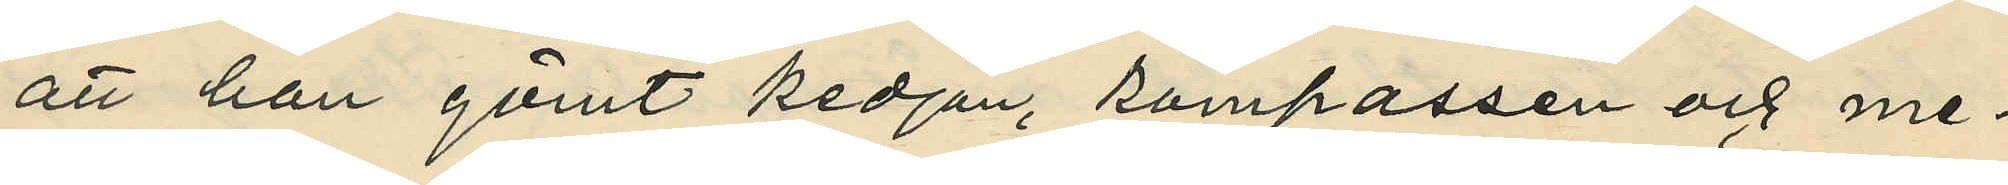att han gömt kedjan, kompassen och me¬
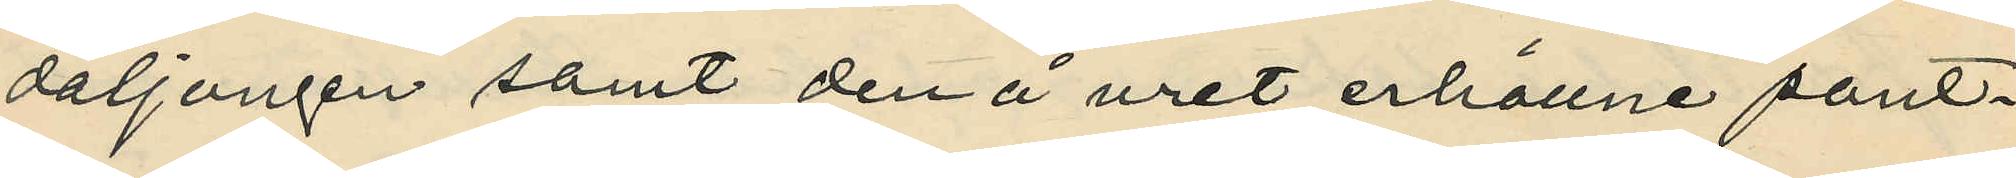daljongen samt den å uret erhållne pant¬
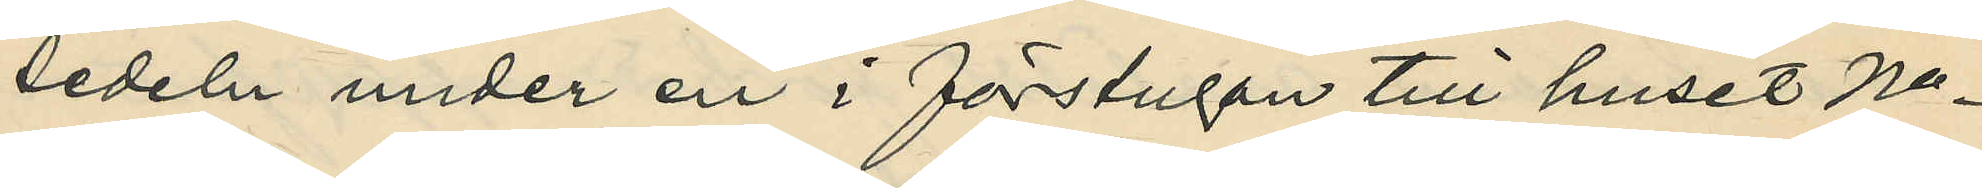sedeln under en i förstugan till huset No
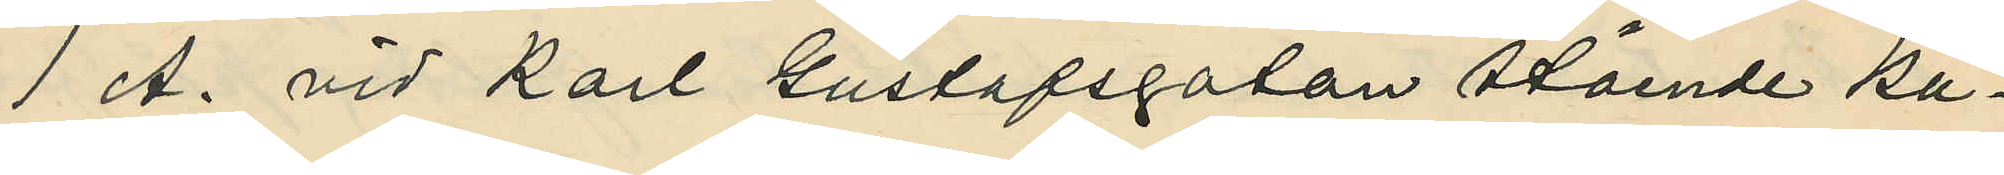1 A. vid Karl Gustafsgatan stående ka¬
